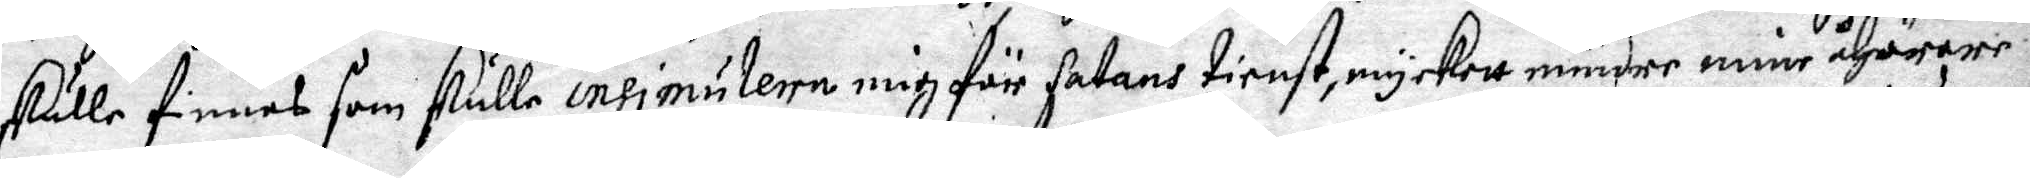skulle finnes som skulle insimulera mig för Satans tienst, myckett mindre mine åhörare,
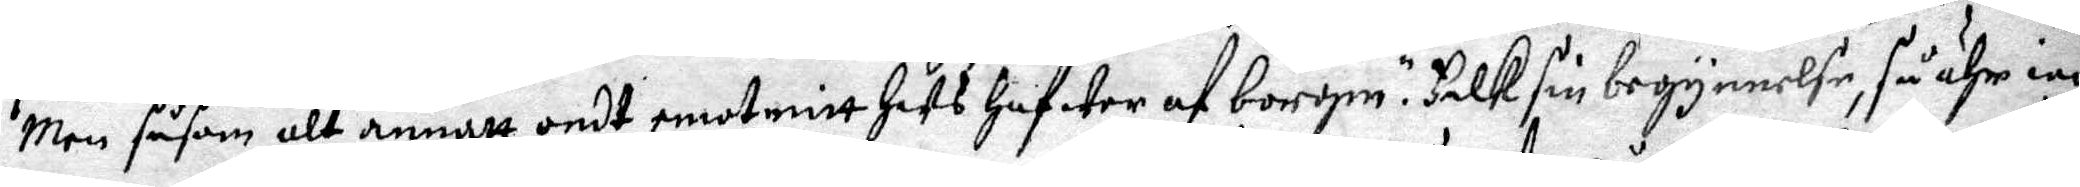Men såsom alt annatt ondt emot mitt hus hafwer af borgm.r Falk sin begynnelse, så ähr iag
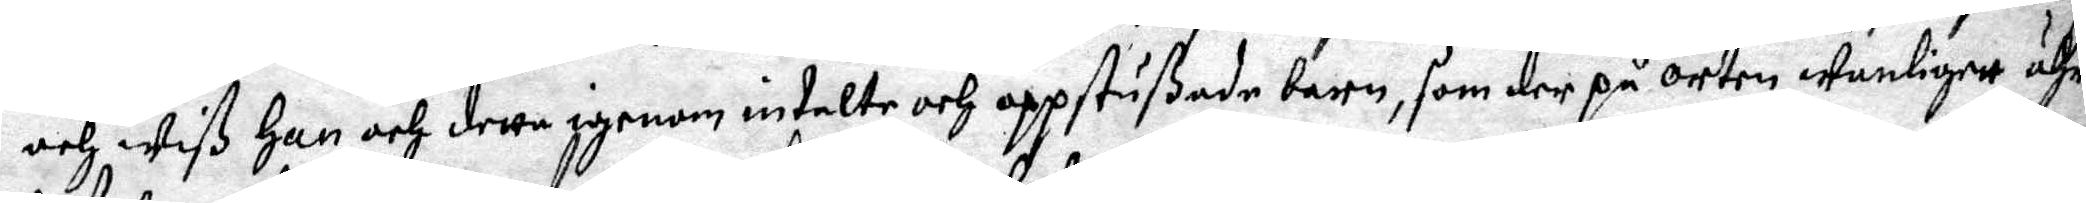och wiß Han och detta igenom intalte och oppstußade barn, som der på orten wanligett ähr
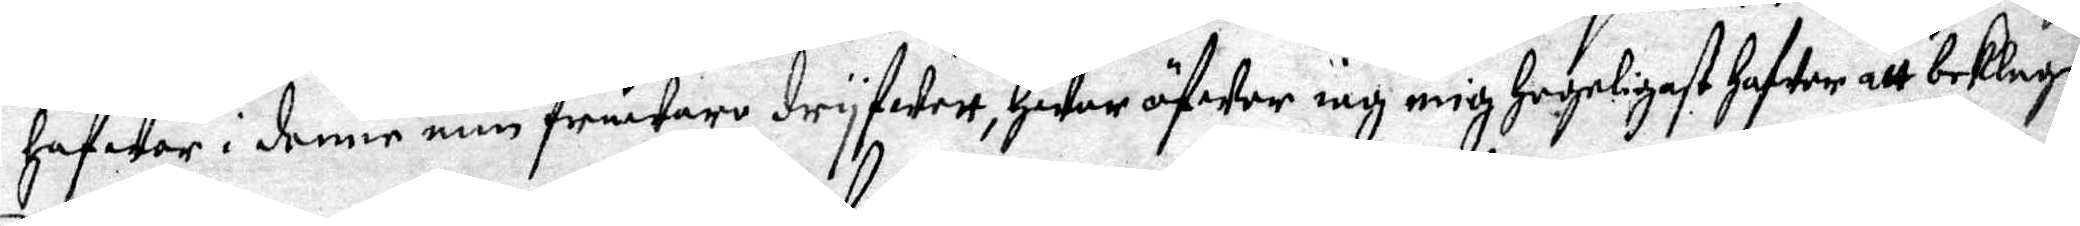hafwer i denne min fråwaro dryfwett, hwar öfwer iag mig hogeligast hafwer att beklaga.
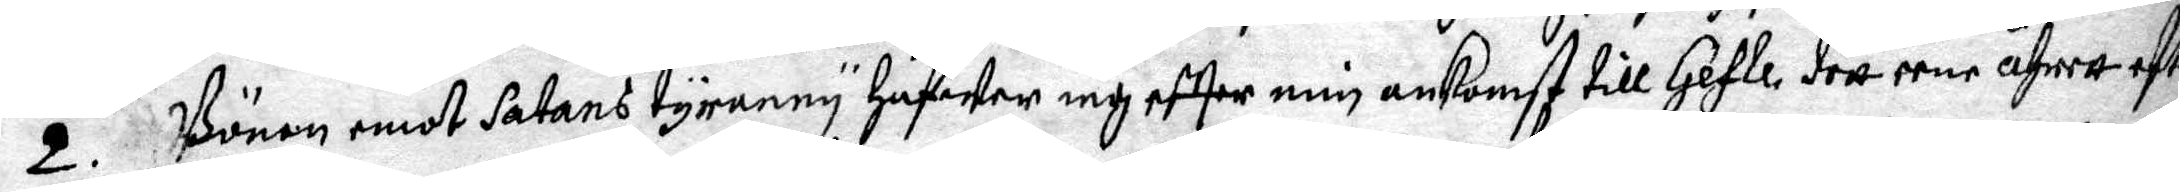2. Bönen emot Satans tyraney hafwer iag effter min ankomst till Gefle, dett eene åhrett efter
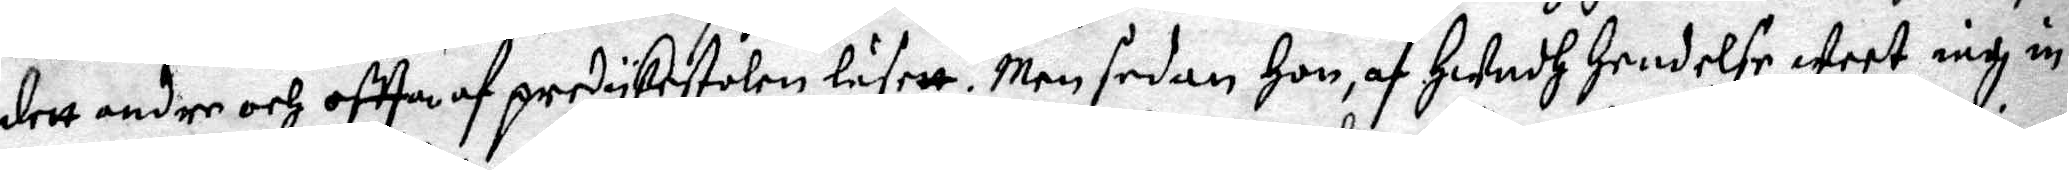dett andre och offta af predykestolen läsett. Men sedan Hon, af Hwadh hendelse weet iag in¬
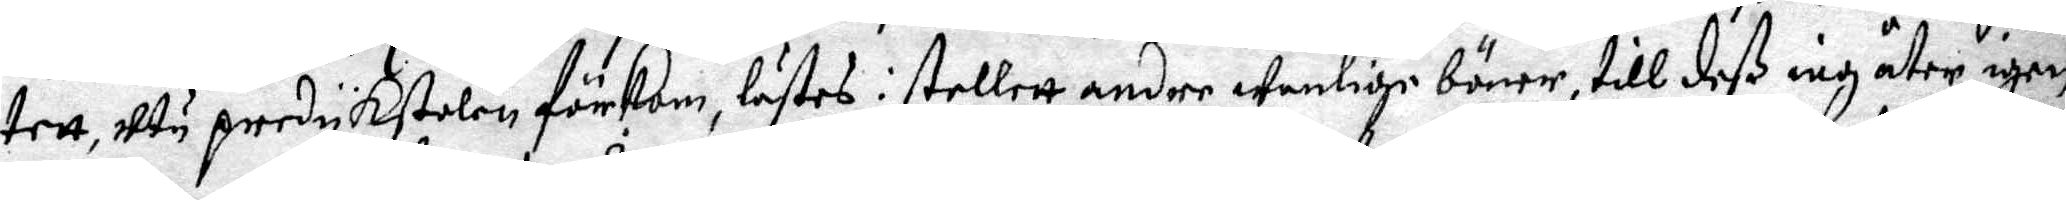tett, utu predykstolen förkom, lästes i stellett andre wanlige böner, till deß iag åter igen
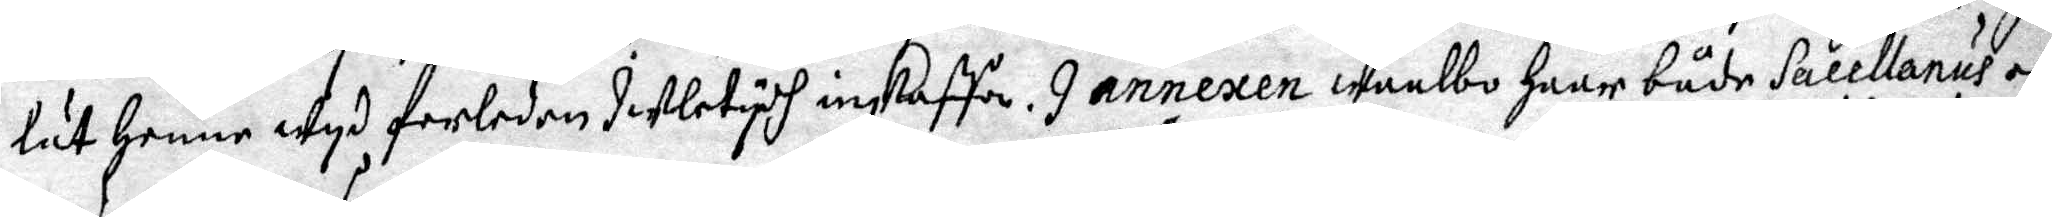lät henne wyd forleden Juletydh inskaffa. I annexen Waalbo haar både Sacellanus och
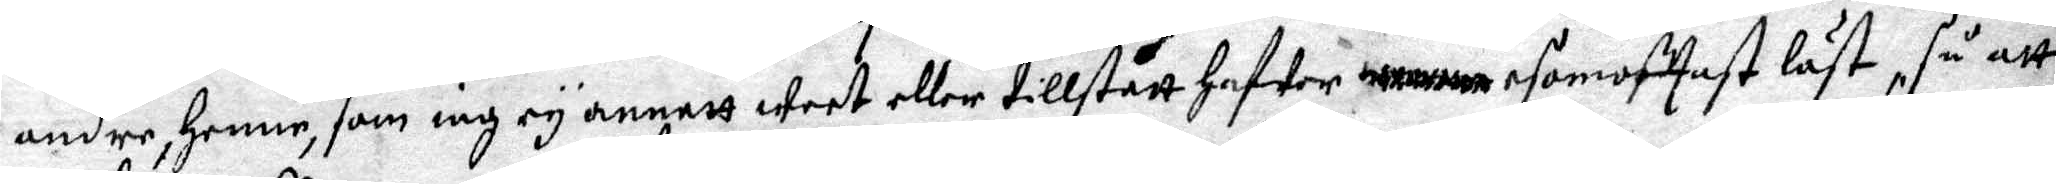andre, henne, som iag ey annatt weet eller tillstått hafwer esomofttast läst, så att
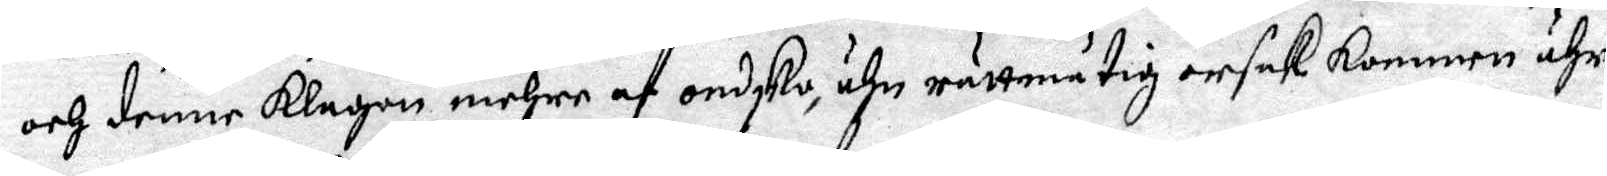och denne klagan mehre af ondsko, ähn rättmätig orsak kommen ähr.
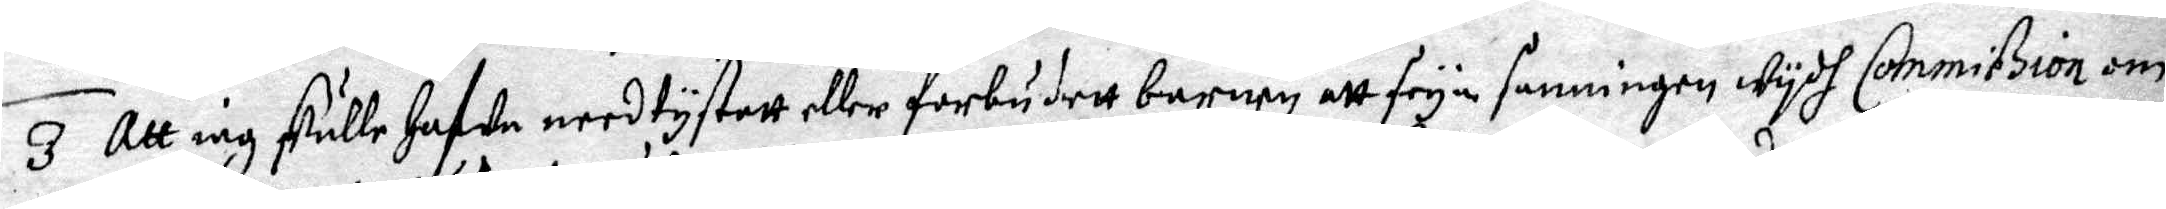3 Att iag skulle hafwa needtystatt eller förbudett barnen att seya sanningen wydh Commission om
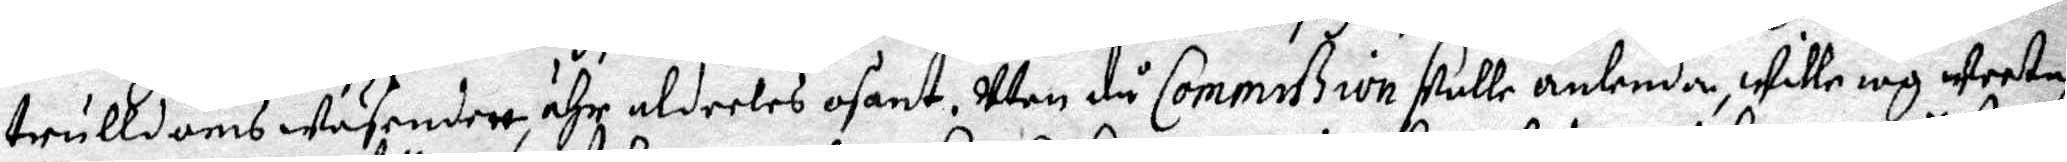trulldomswäsendett, ähr aldeeles osant. Men då Commißion skulle anlenda, wille iag weeta
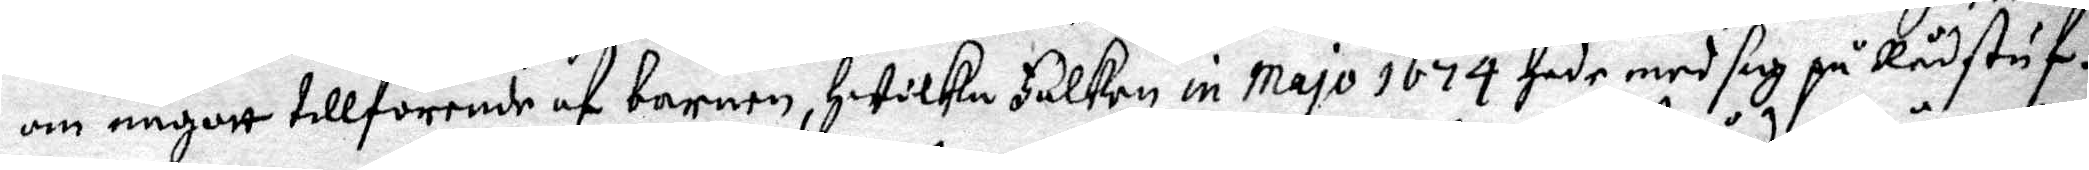om någott tillförende af barnen, Hwilka Falken in majo 1674 hade med sig på Rådstuf¬
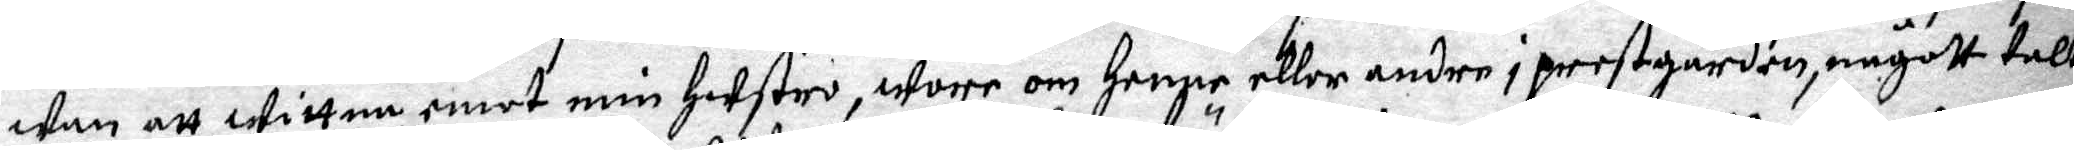wan att wittna emot min hustro, wore om henne eller andre i prestgården, någott talt
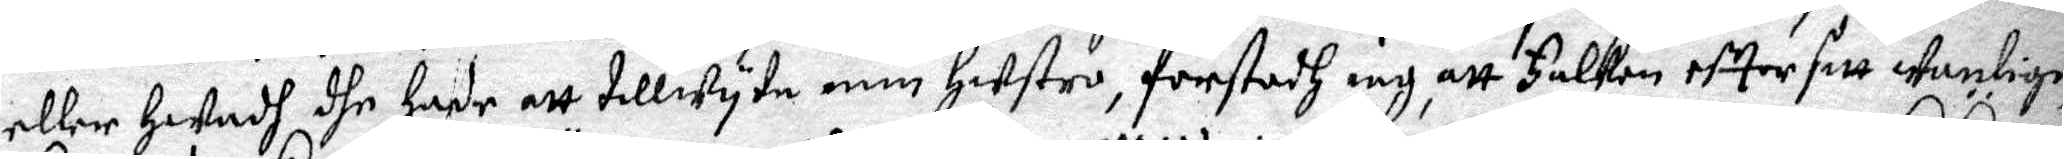eller hwadh dhe hade att tillwyta min hustro, förstodh iag, att Falken efter sitt wanlige
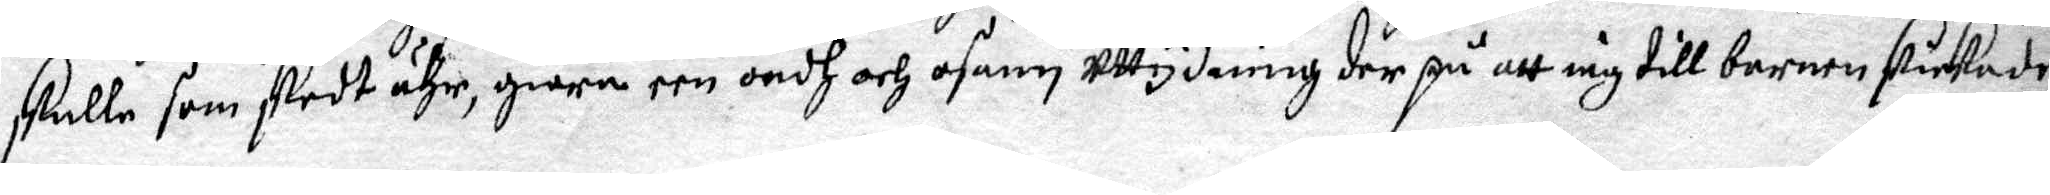skulle som skedt ähr, giöra een ondh och osann utydning der på att iag till barnen skickade
